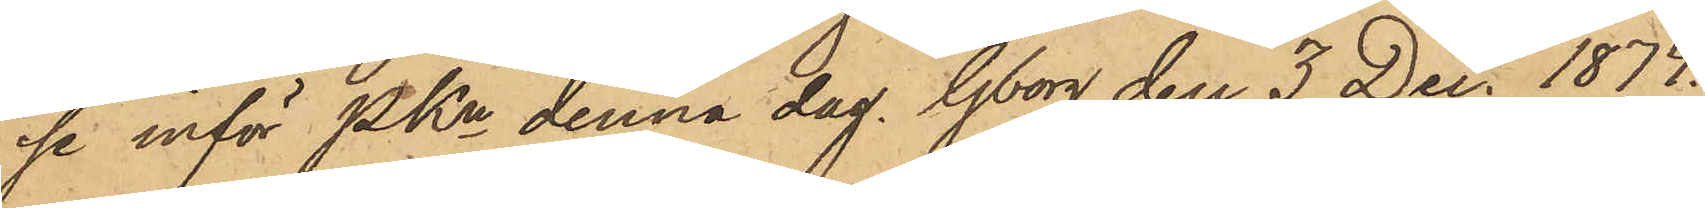se inför PKn denna dag. Gborg den 3 Dec. 1874.
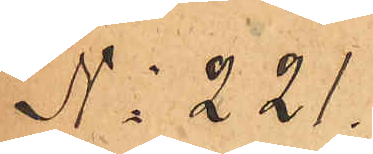No 221.
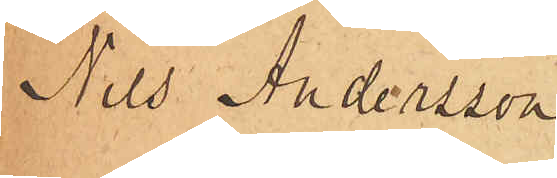Nils Andersson
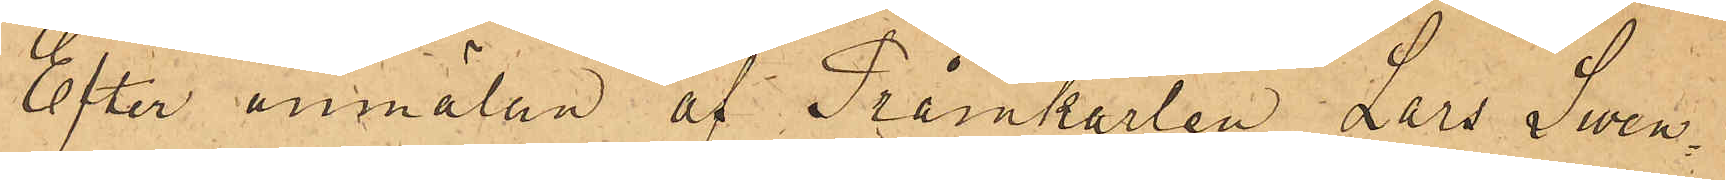Efter anmälan af Pråmkarlen Lars Sven¬
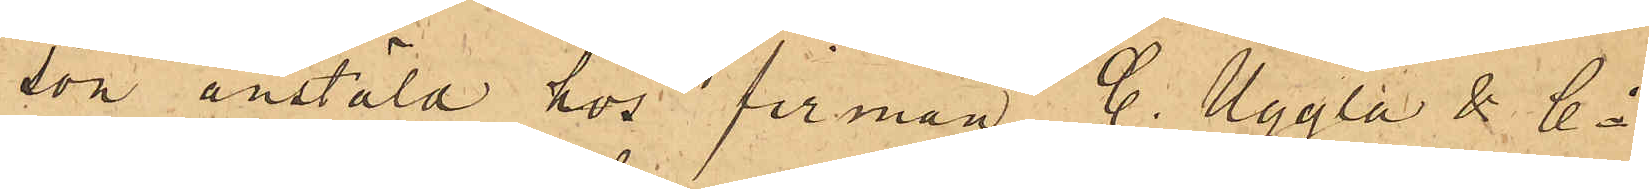son anstäld hos firman C. Uggla & Co
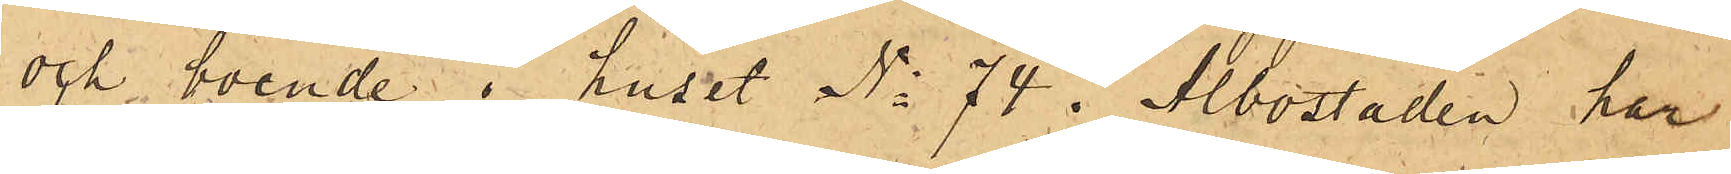och boende i huset No 74 i Albostaden har
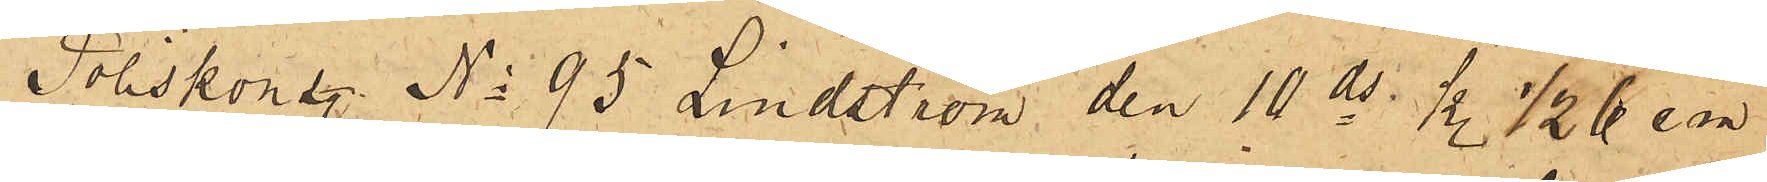Poliskonstl No 95 Lindström den 10 ds kl.½ 6 em
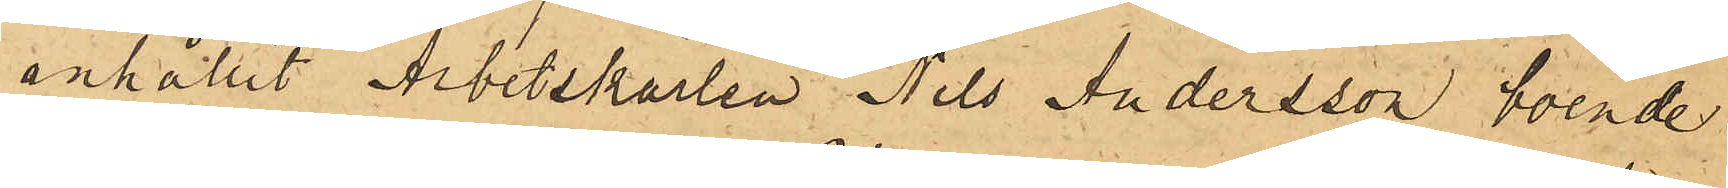anhållit Arbetskarlen Nils Andersson, boende
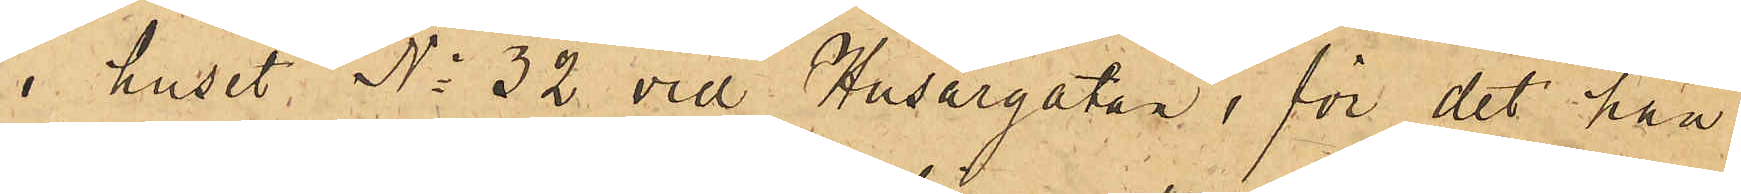i huset No 32 vid Husargatan, för det han
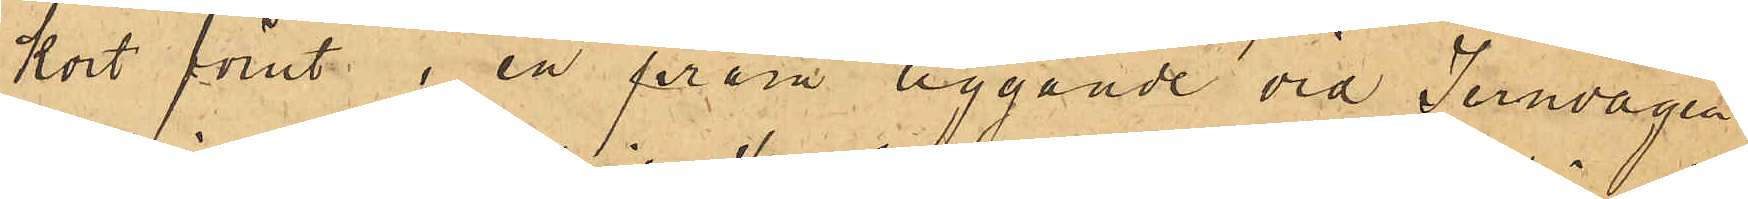kort förut i en pråm liggande vid Jernvågen
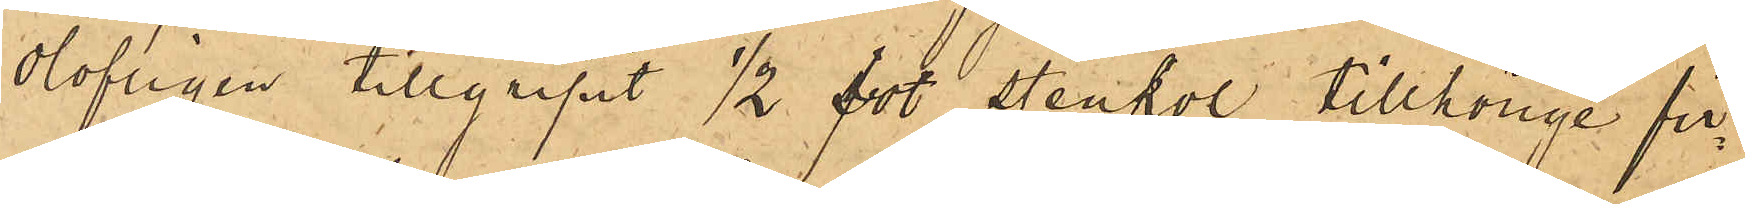olofligen tillgripit ½ fot stenkol tillhörige fir¬
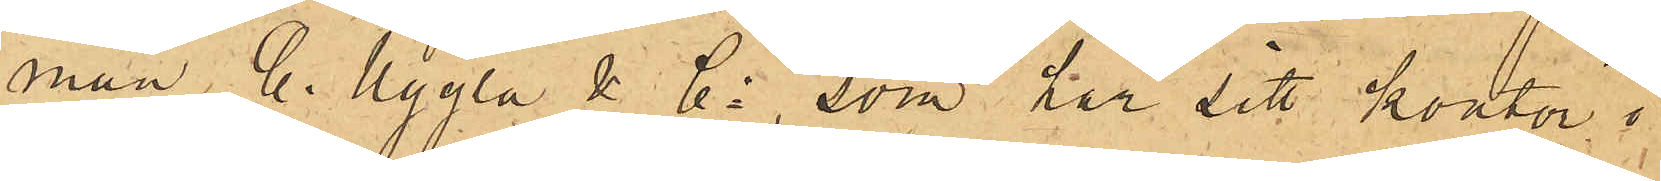man, C. Uggla & Co  som har sitt kontor i
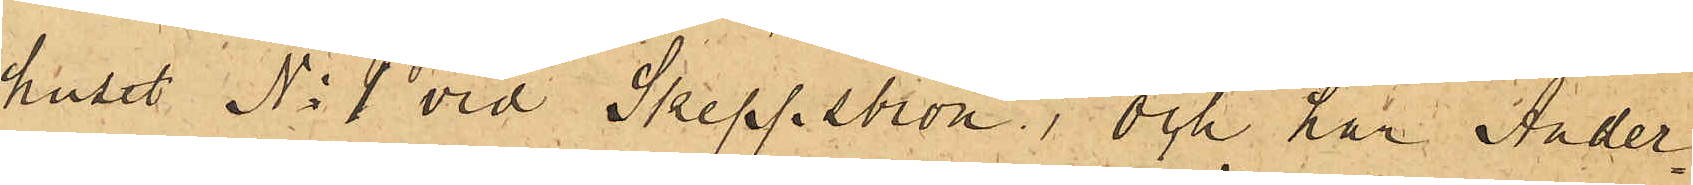huset No 1 vid Skeppsbron; och har Ander¬
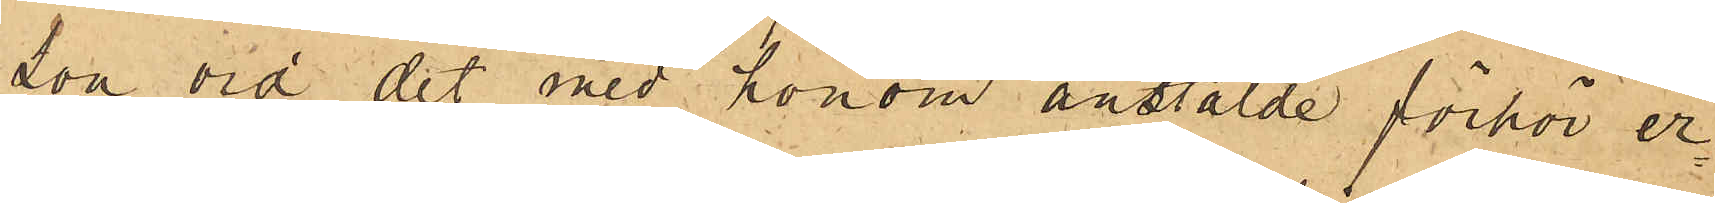son vid det med honom anstälde förhör er¬
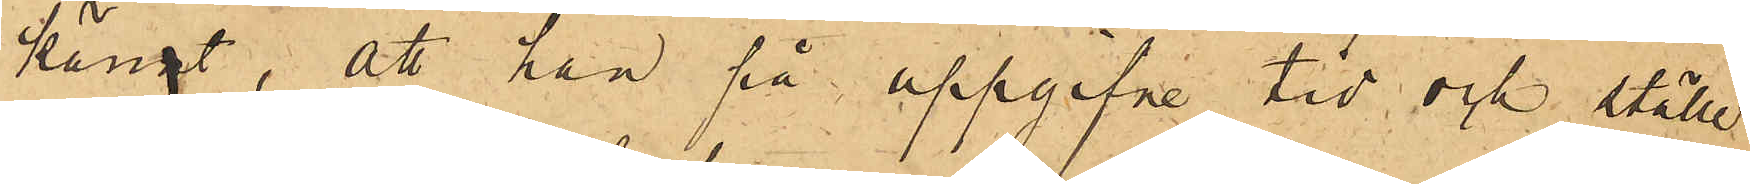kännt, att han på uppgifne tid och ställe
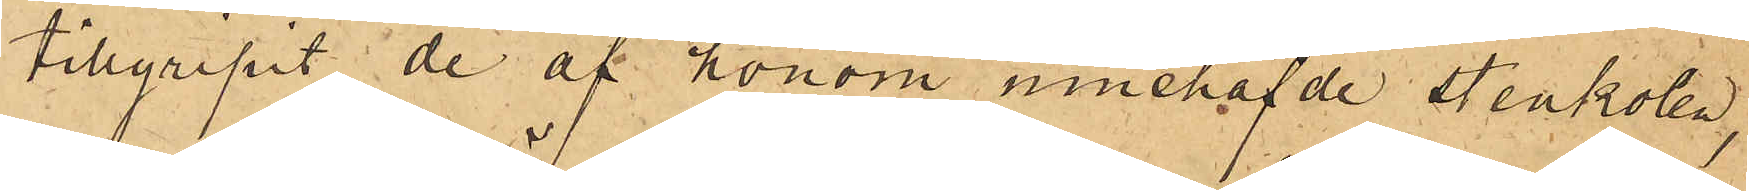tillgripit de af honom innehafvde stenkolen,
